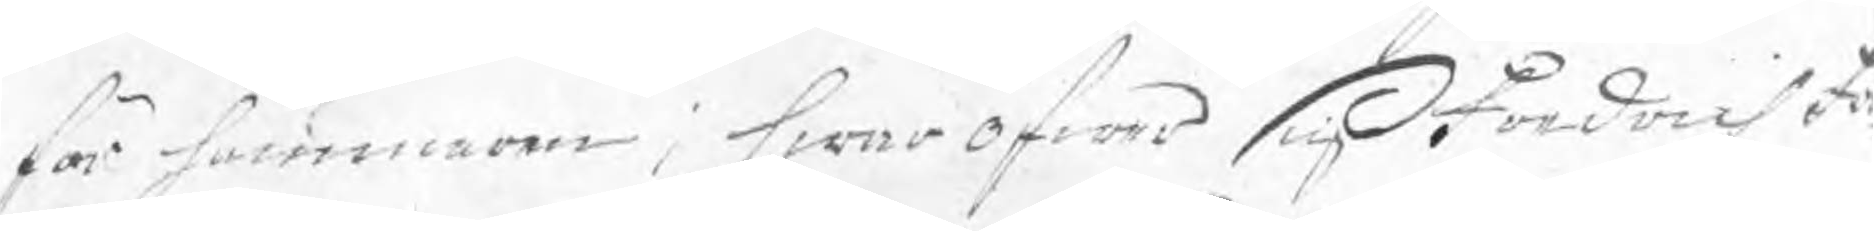för hammaren; hwaröfwer sig Fredrich Fö
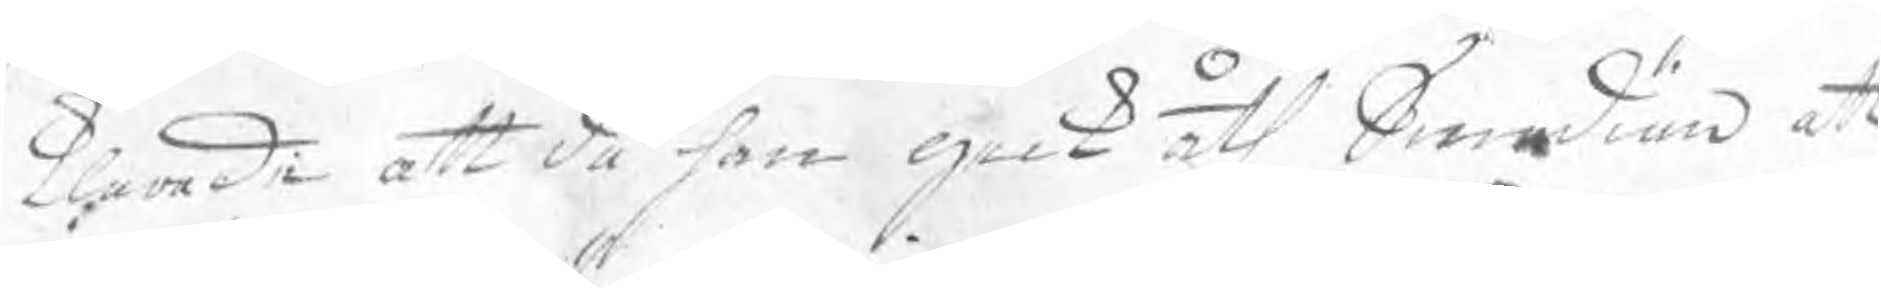klarade att då han geck åth Smedian att
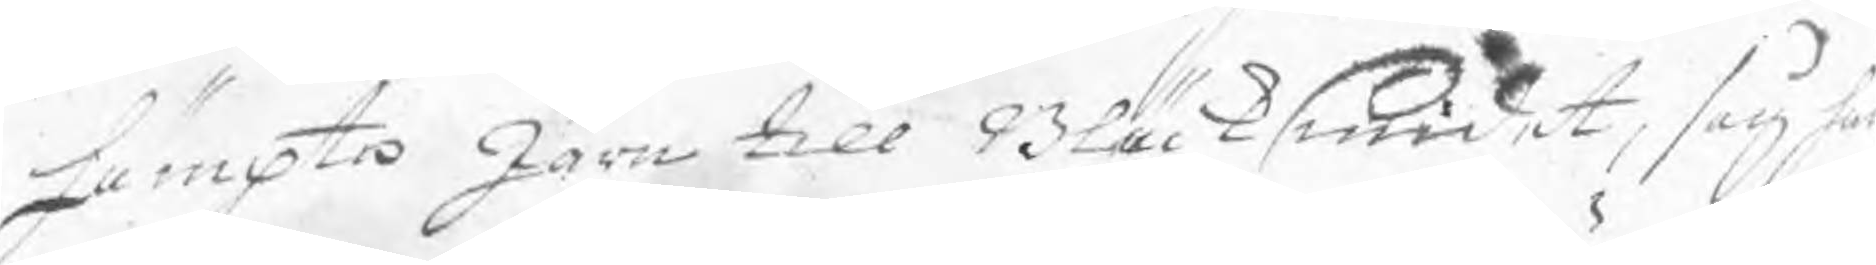hämpta Järn till Bläcksmidet, såg han
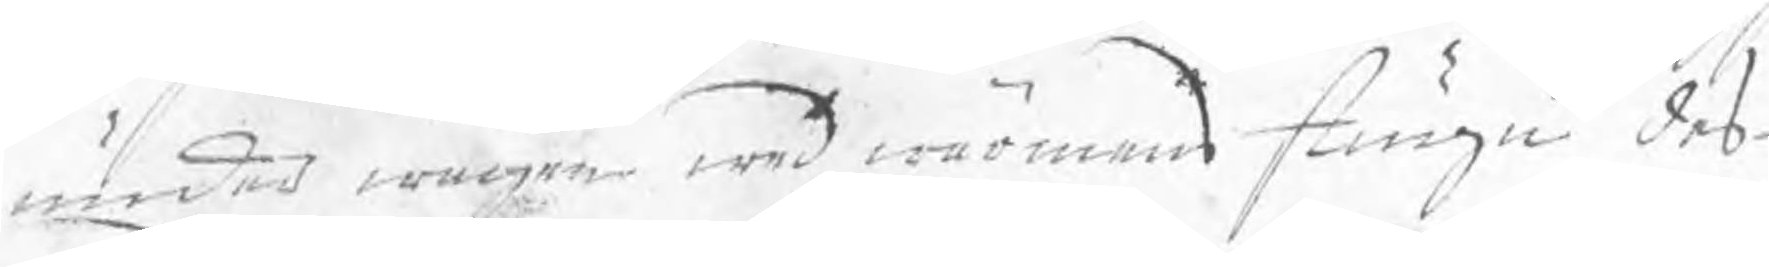under wägen wed wärmen stugu des
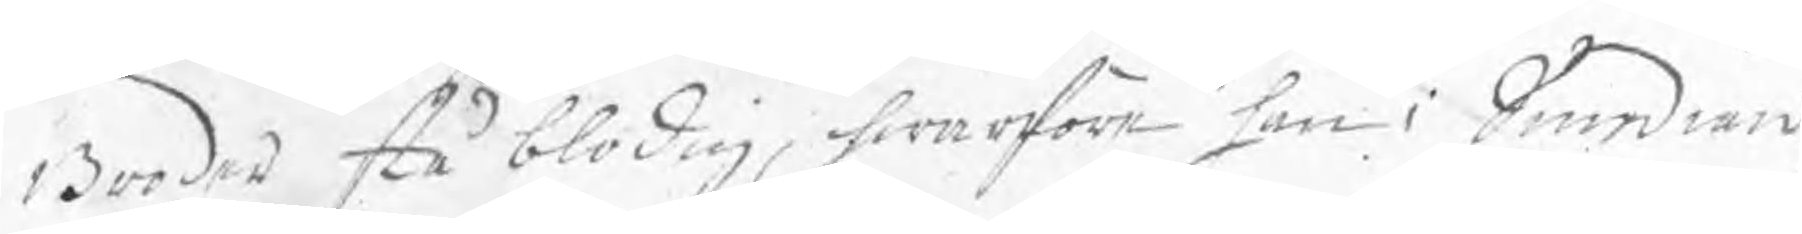Broder stå blodig, hwarföre han i Smedian
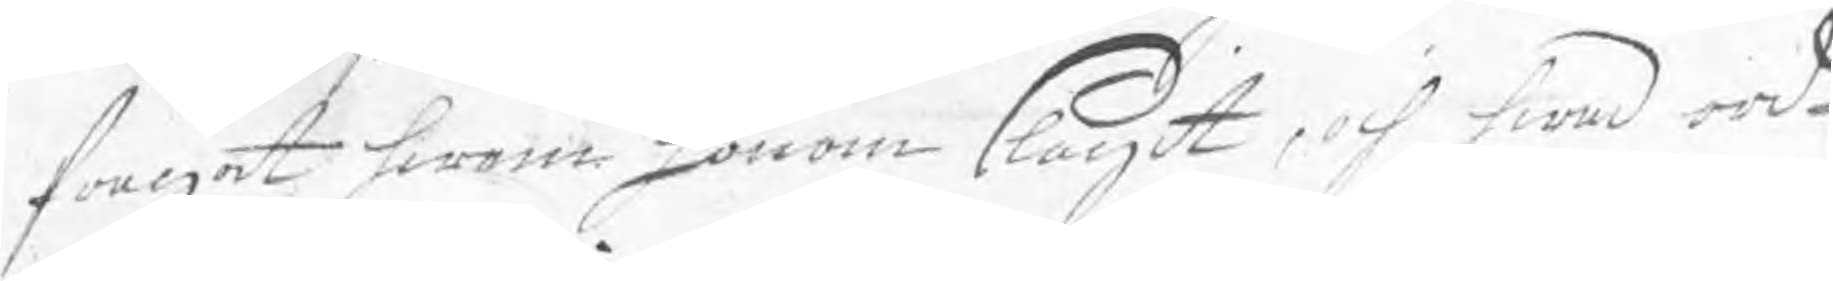frågat hwem honom slagit, och hwad ord¬
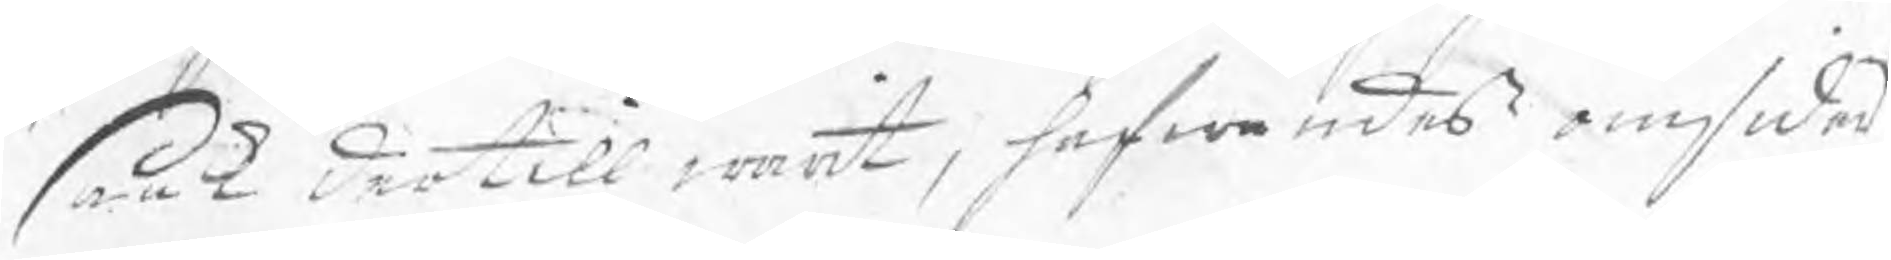saak dertill warit, hafwandes omsider
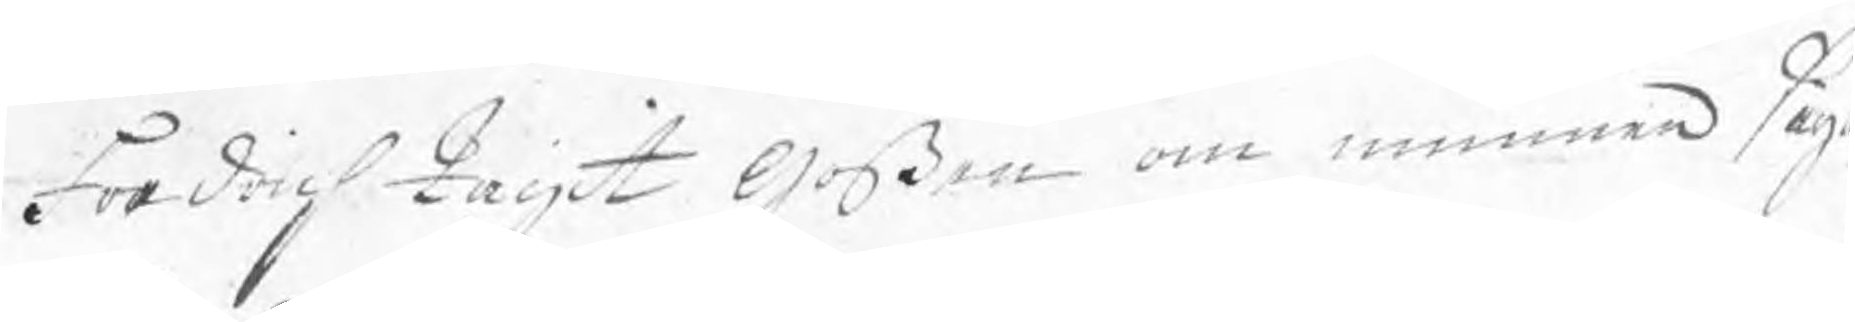Fredrich tagit Goßen om munnen säga
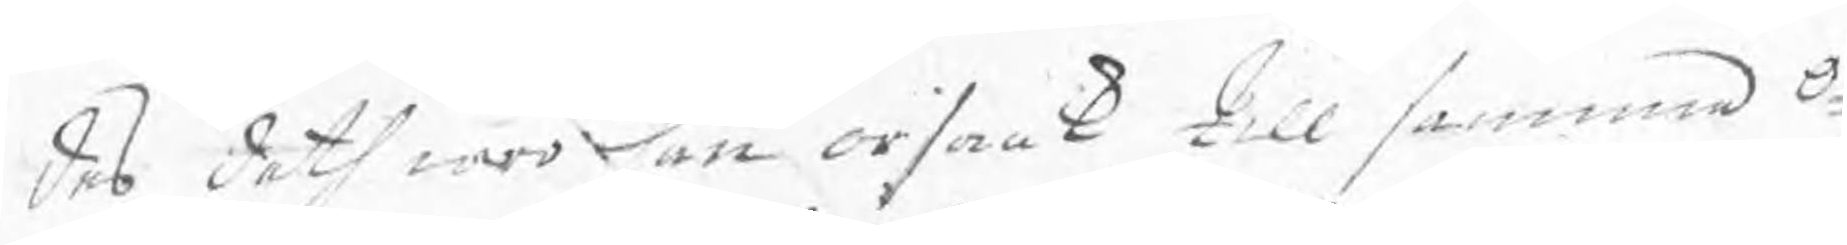des deth war han orsaak till samma O¬
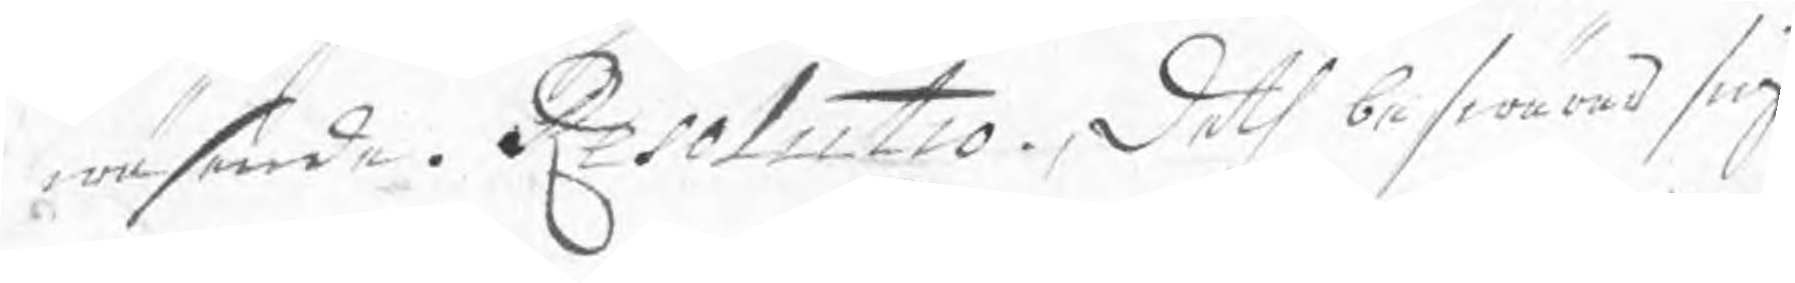wäsende. Resolutio. Deth beswärar sig
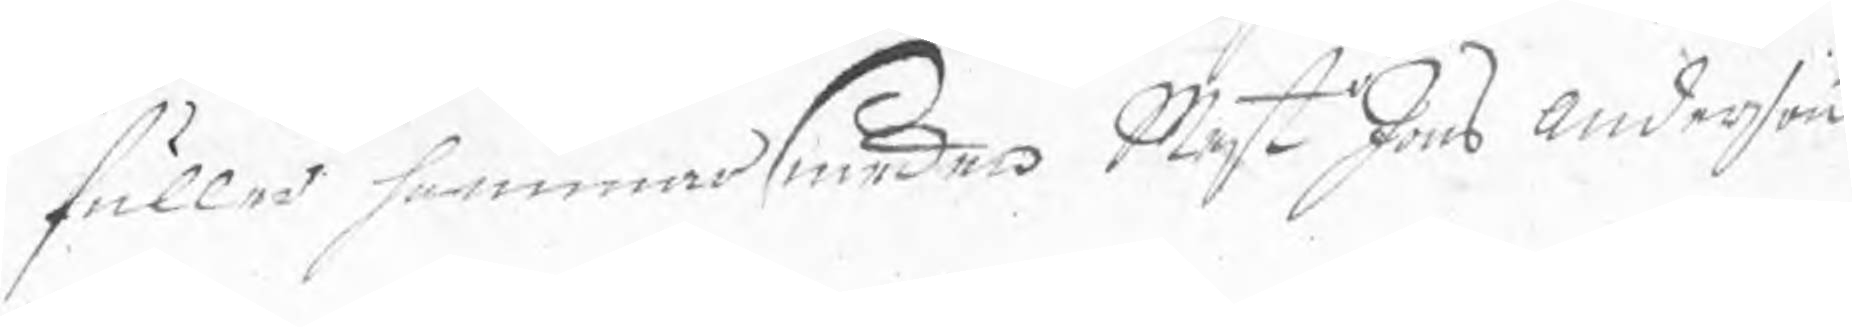fuller hammarsmeden Mest Jöns Anderson
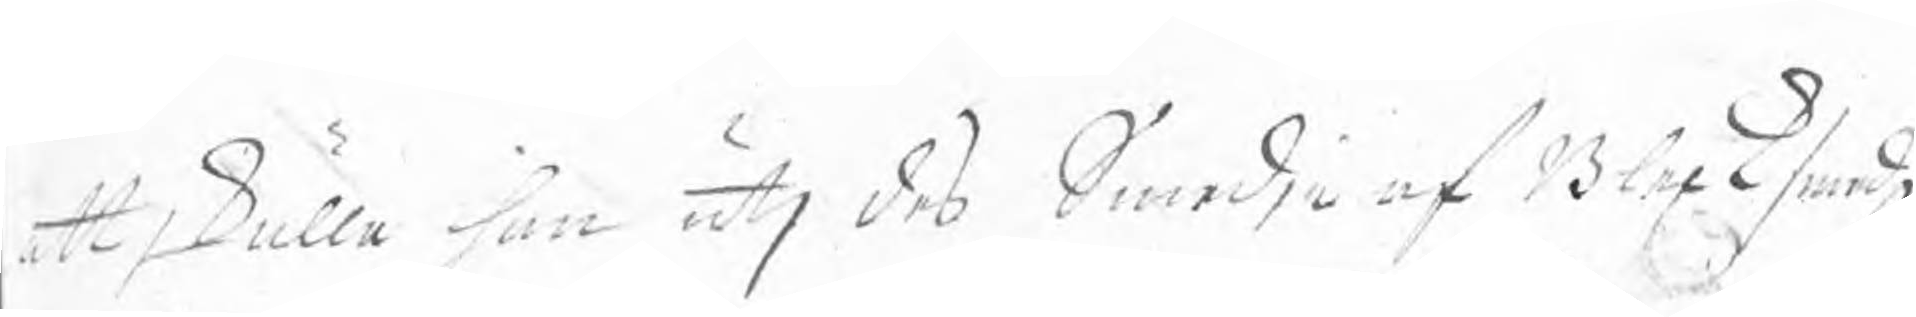att skulle han utj des Smedja af Blecksmedz
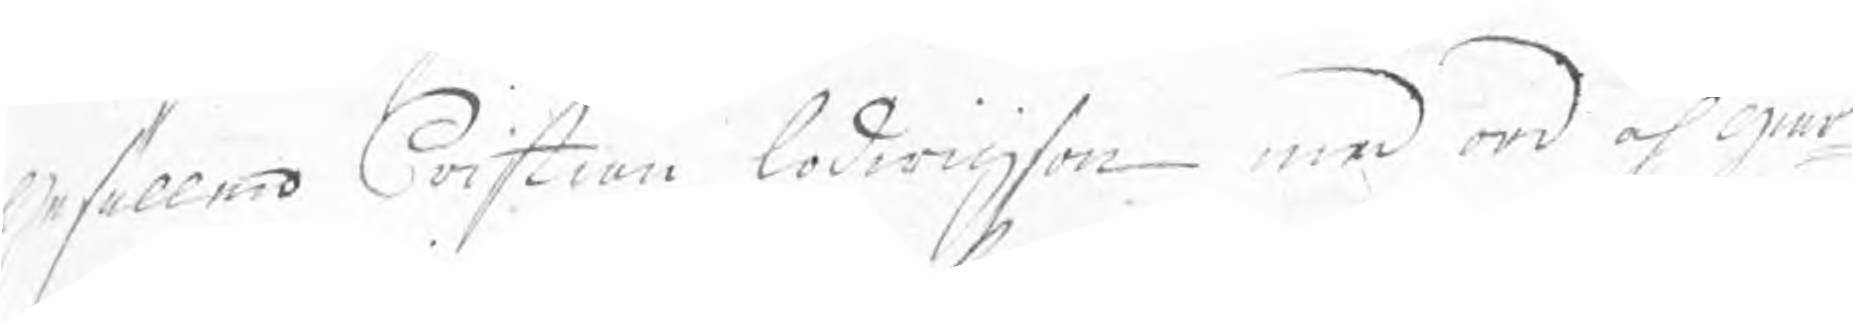Gesällen Cristian Lodwigson med ord och giär¬
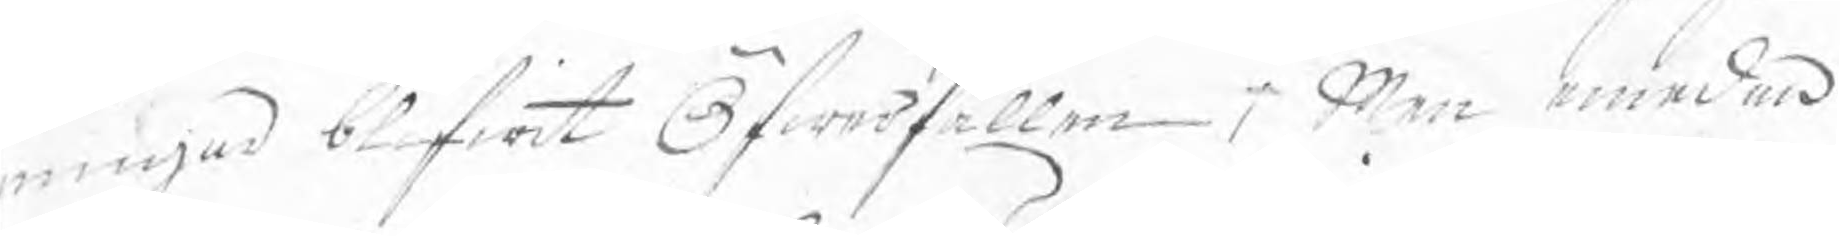ningar blifwit Öfwerfallen; Men emedan
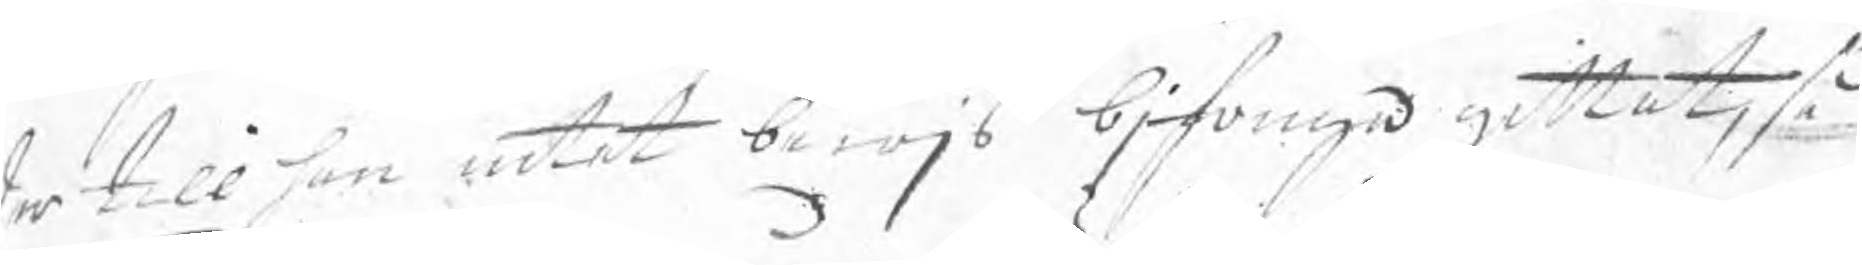der till han intet bewjs bjfouga gittat, så
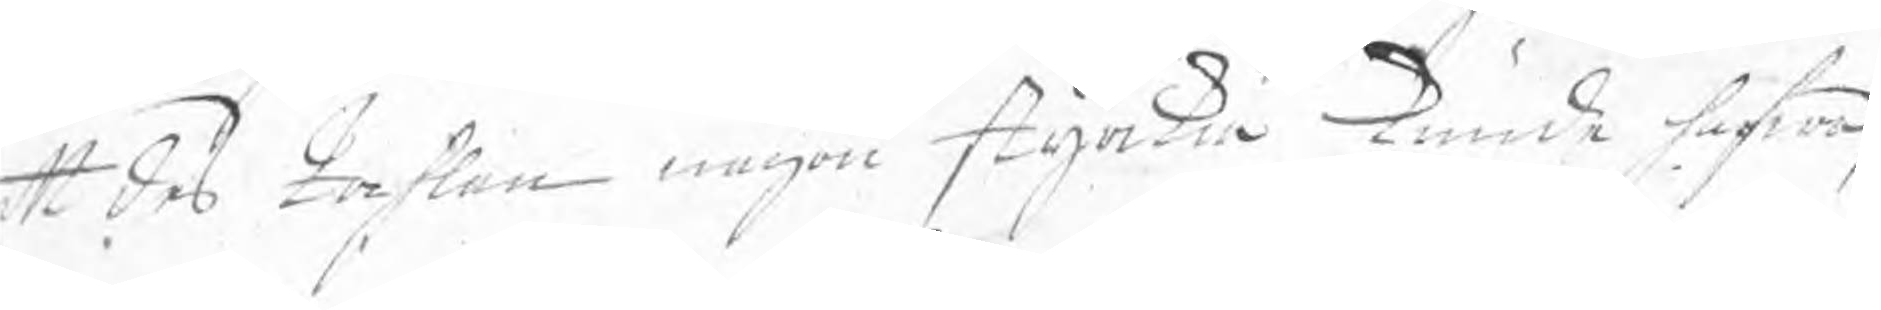att des tahlan någon styrka kunde hafwa,
